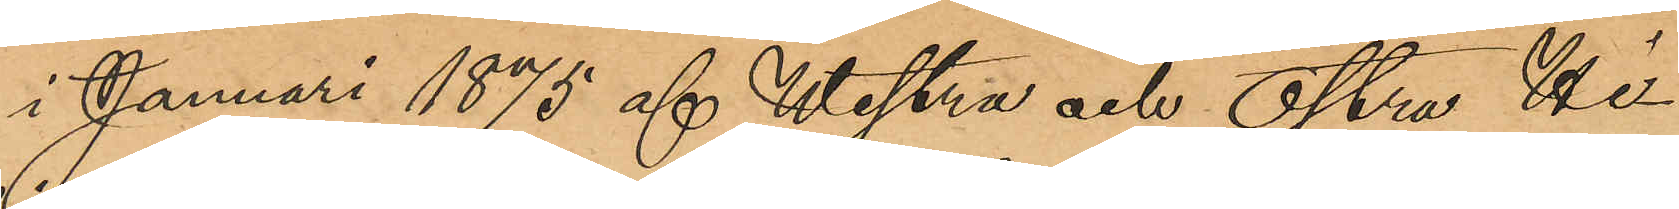i Januari 1875 af Westra och Östra Hi¬
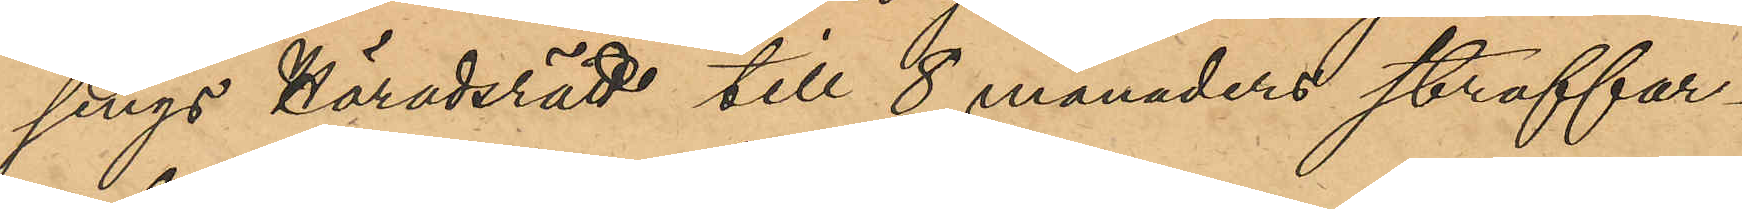sings Häradsrätt till 8 månaders straffar¬
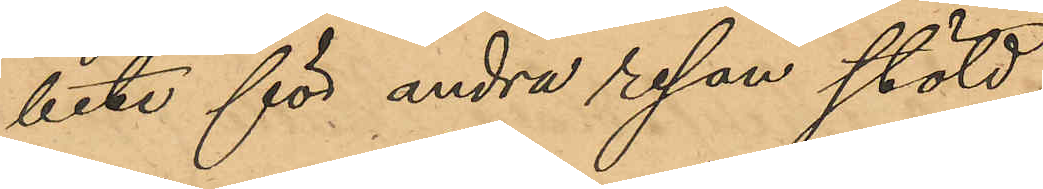bete för andra resan stöld,
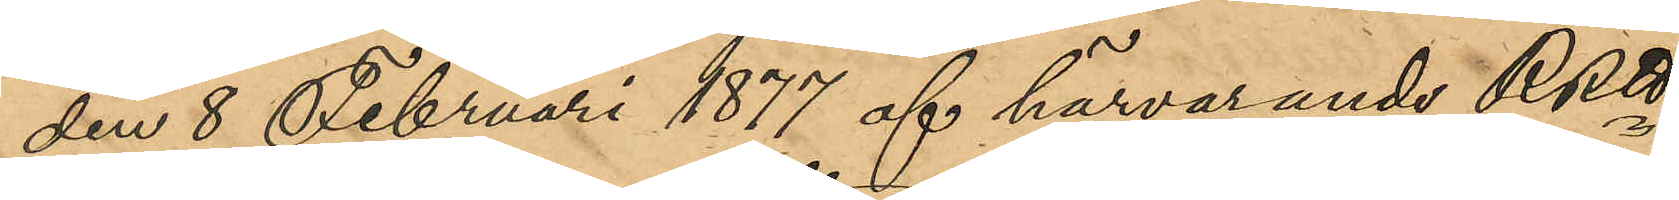den 8 Februari 1877 af härvarande RRtt
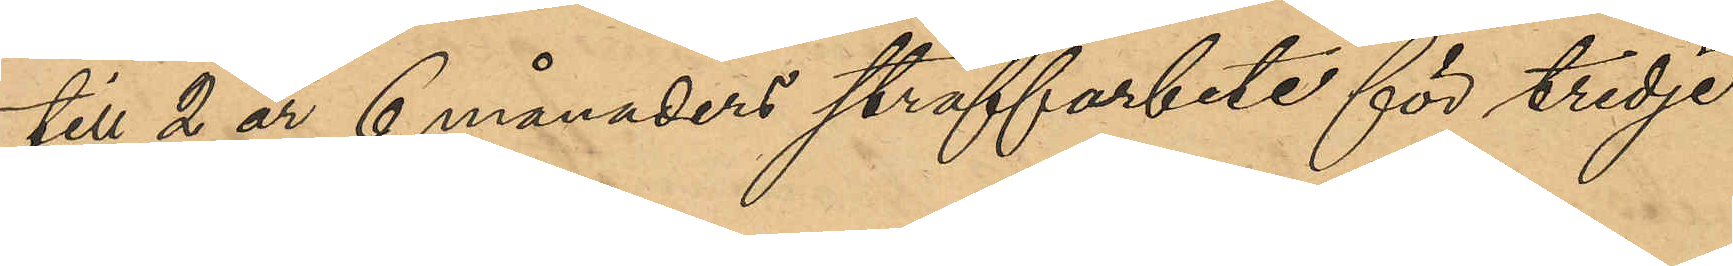till 2 år 6 månaders straffarbete för tredje
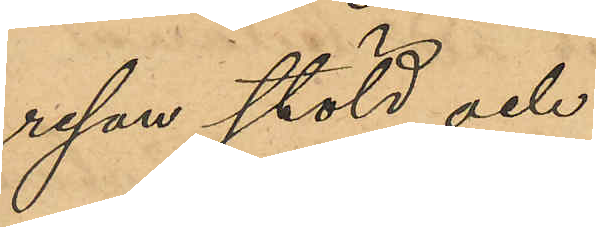resan stöld, och
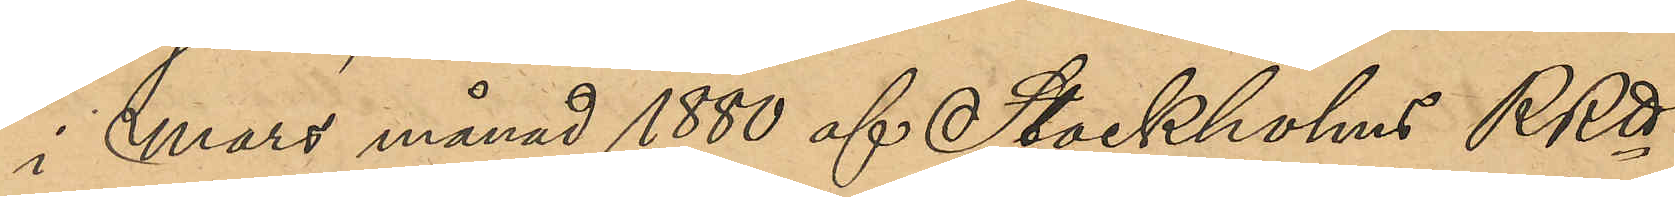i Mars månad 1880 af Stockholms RRtt
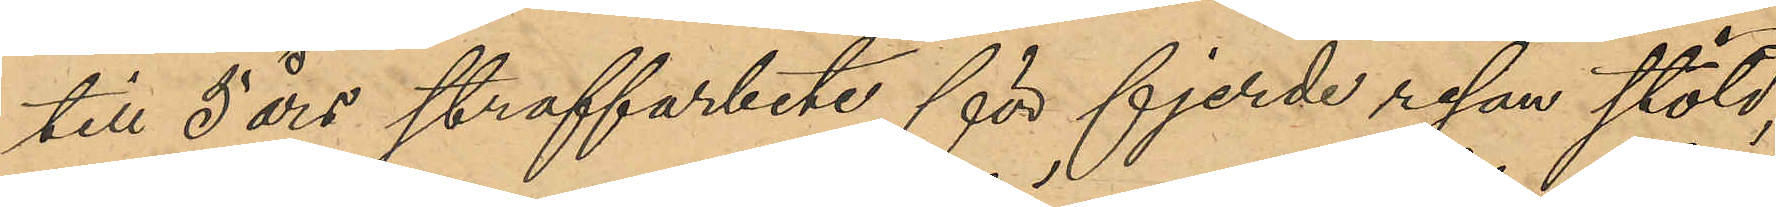till 5 års straffarbete för fjerde resan stöld,
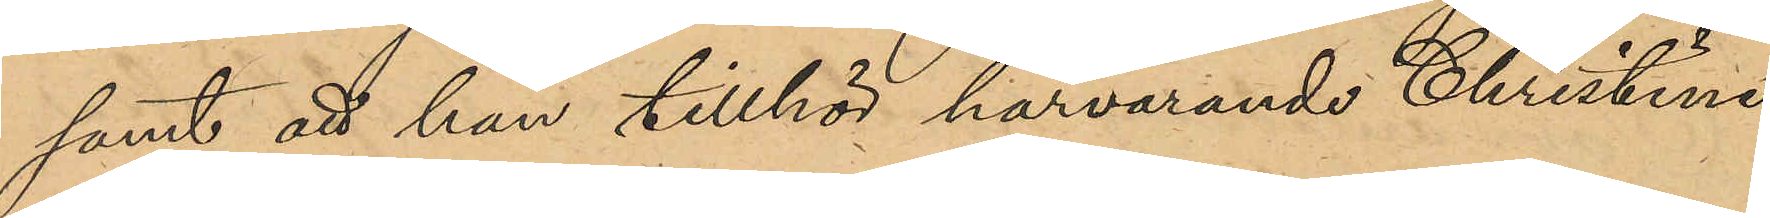samt att han tillhör härvarande Christine
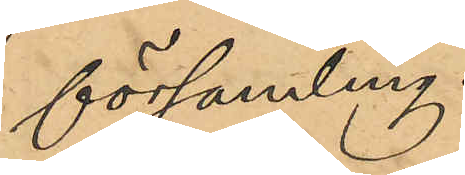församling.
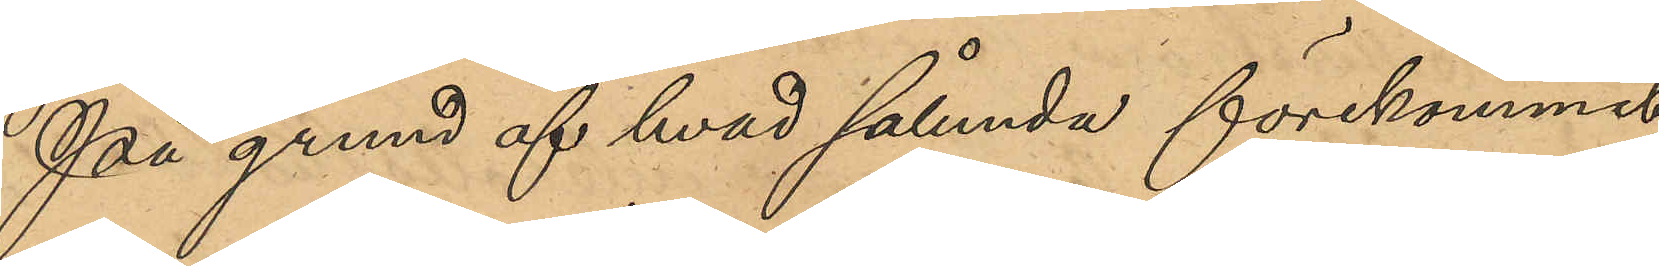På grund af hvad sålunda förekommit
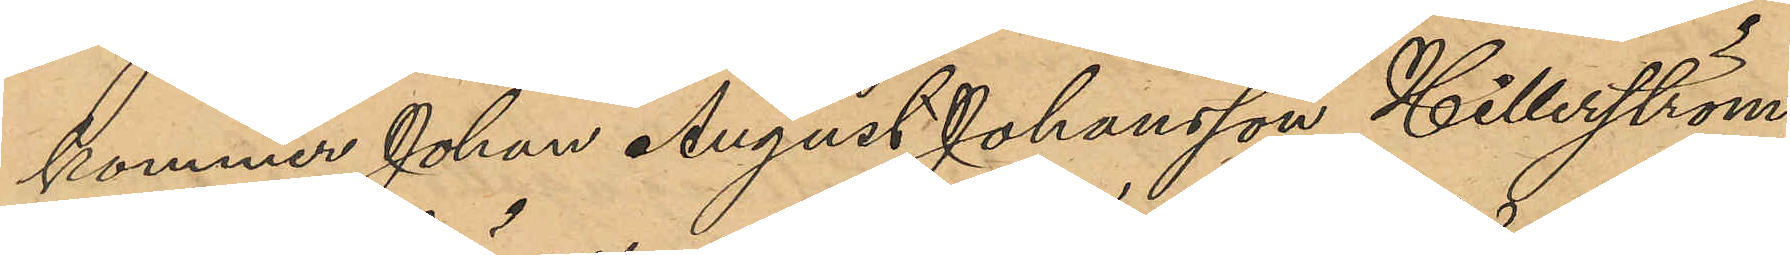kommer Johan August Johansson Hillerström
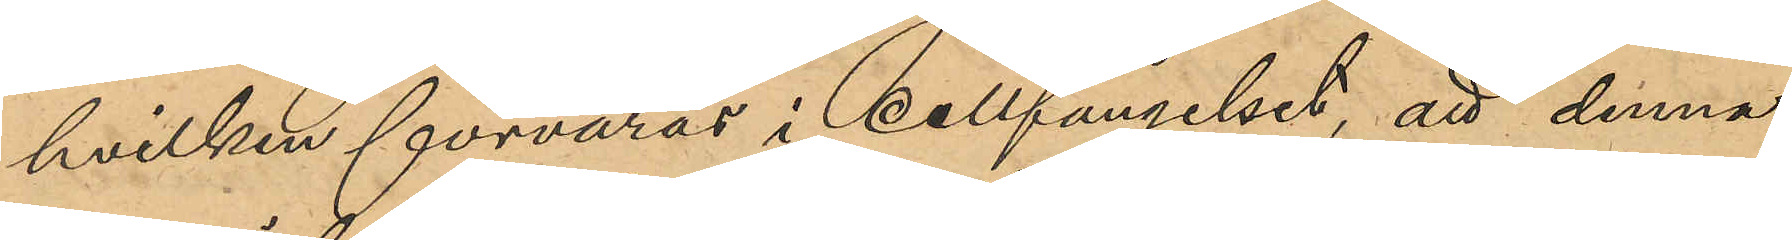hvilken förvaras i cellfängelset, att denne
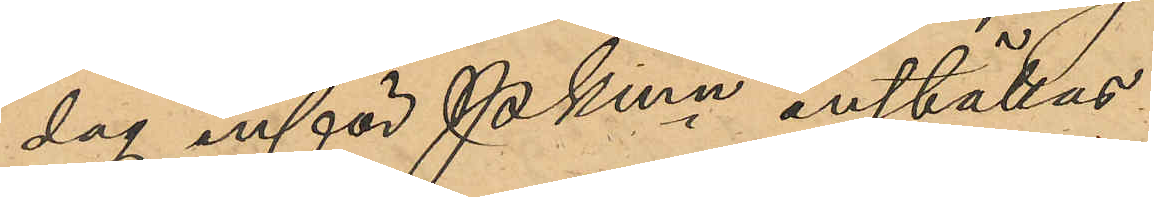dag inför Pkmn inställas.
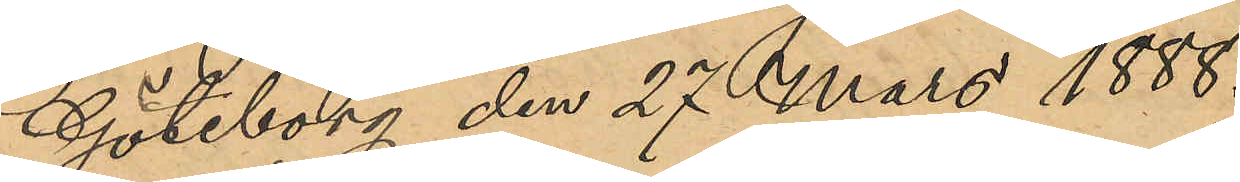Göteborg den 27 Mars 1888.
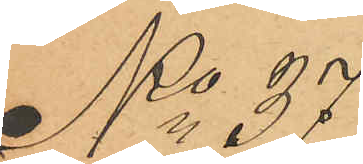No 37
